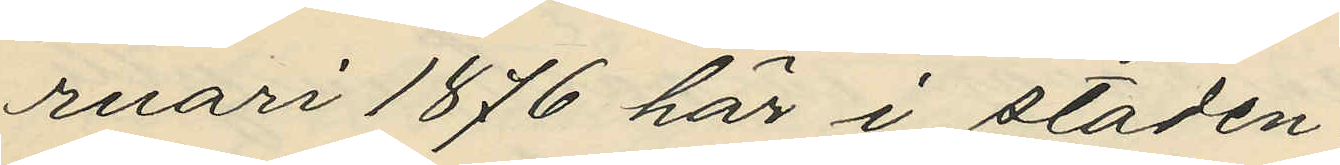ruari 1876 här i staden,
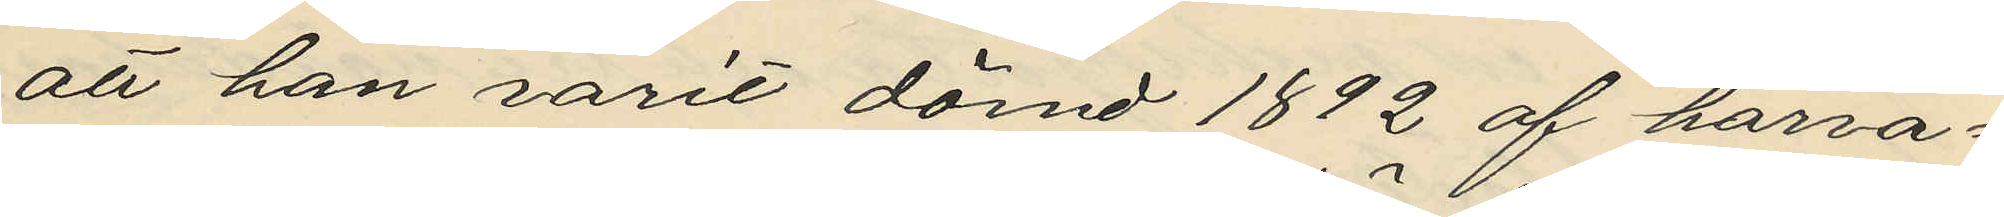att han varit dömd 1892 af härva¬
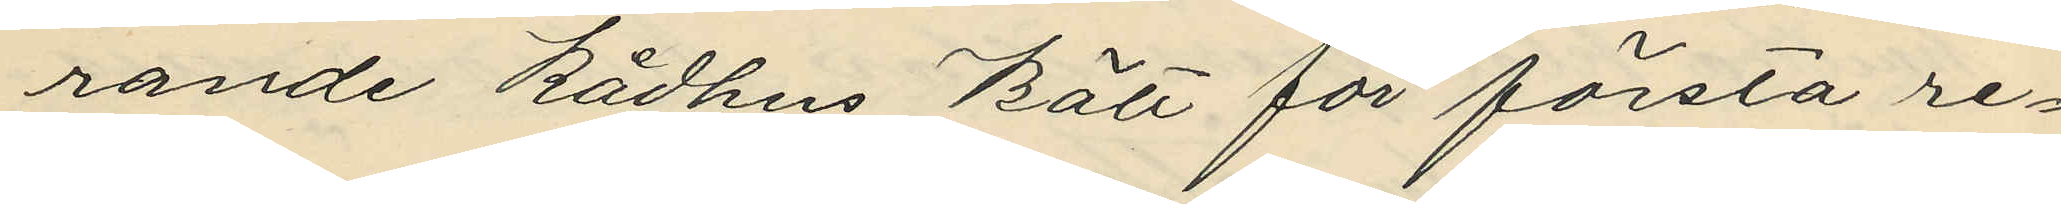rande Rådhus Rätt för första re¬
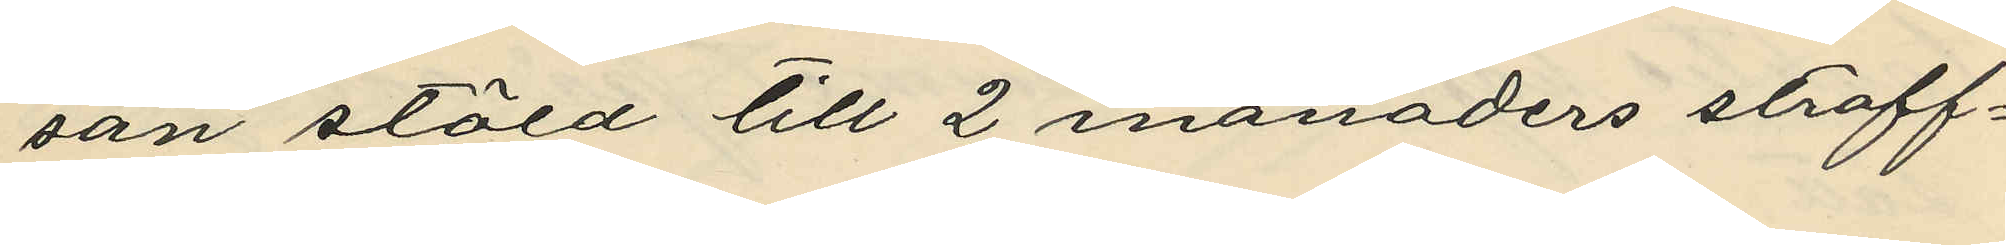san stöld till 2 månaders straff¬
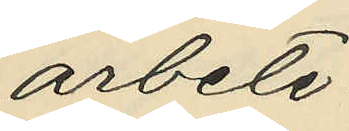arbete,
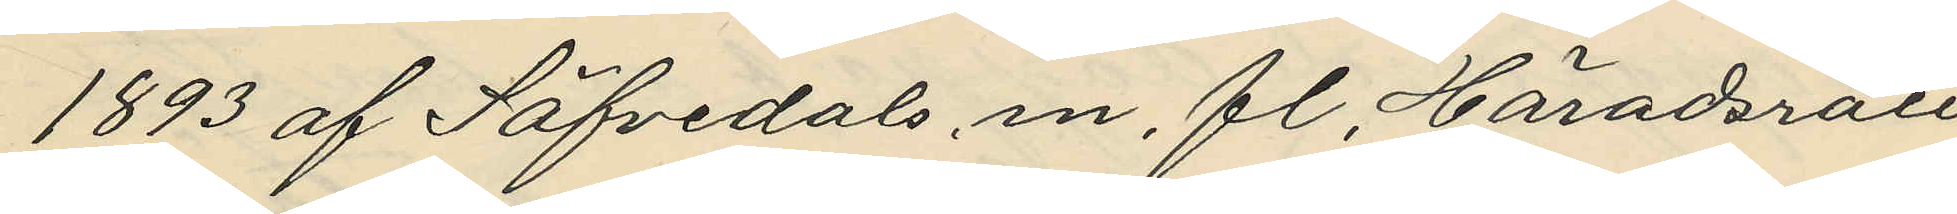1893 af Säfvedals, m. fl. Häradsrätt
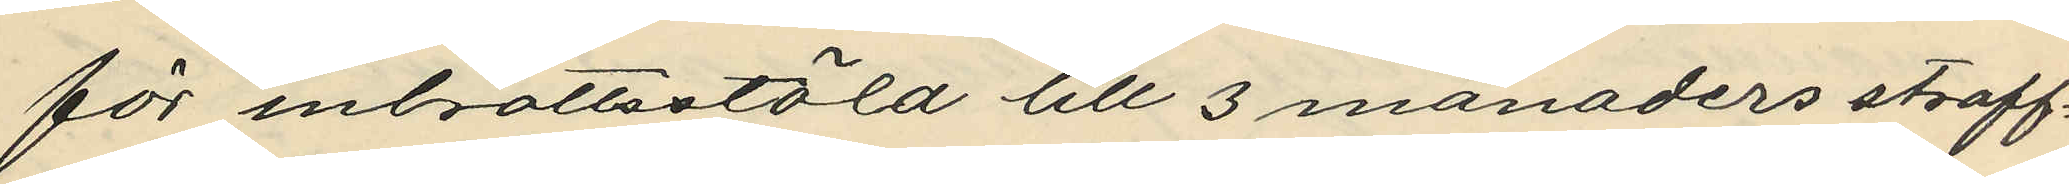för inbrottsstöld till 3 månaders straff¬
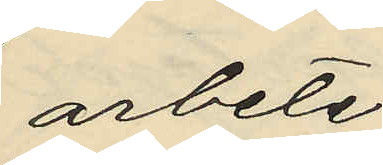arbete,
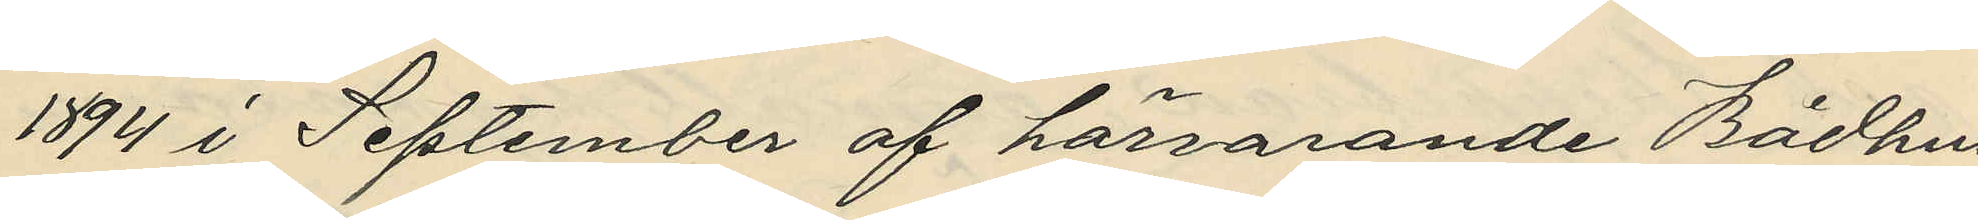1894 i September af härvarande Rådhus
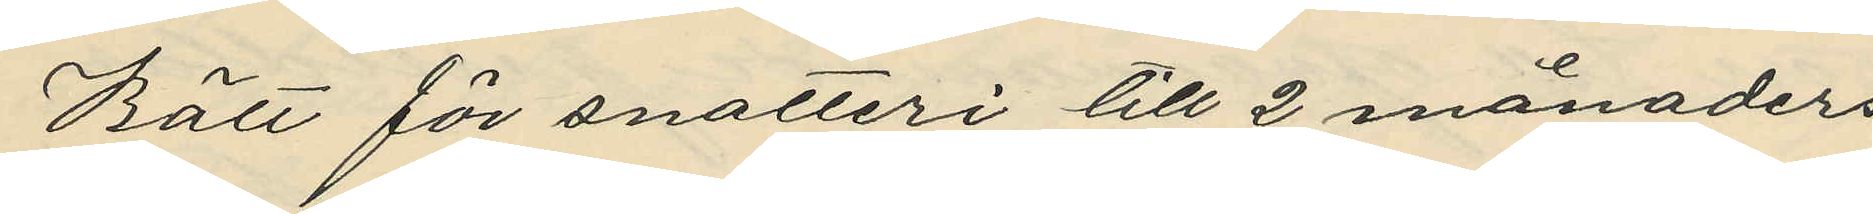Rätt för snatteri till 2 månaders
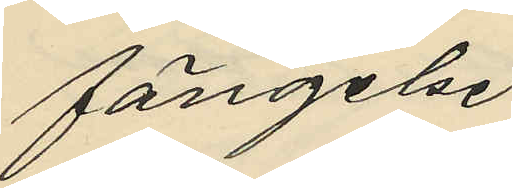fängelse,
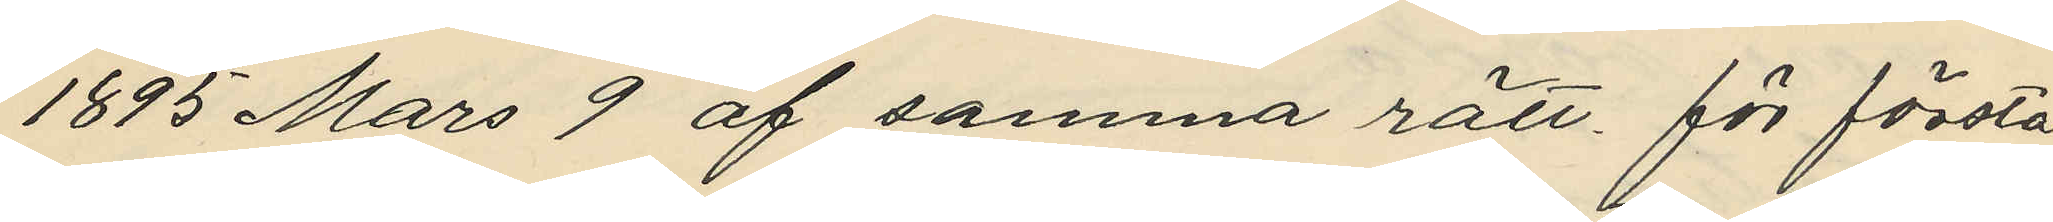1895 Mars 9 af samma rätt för första
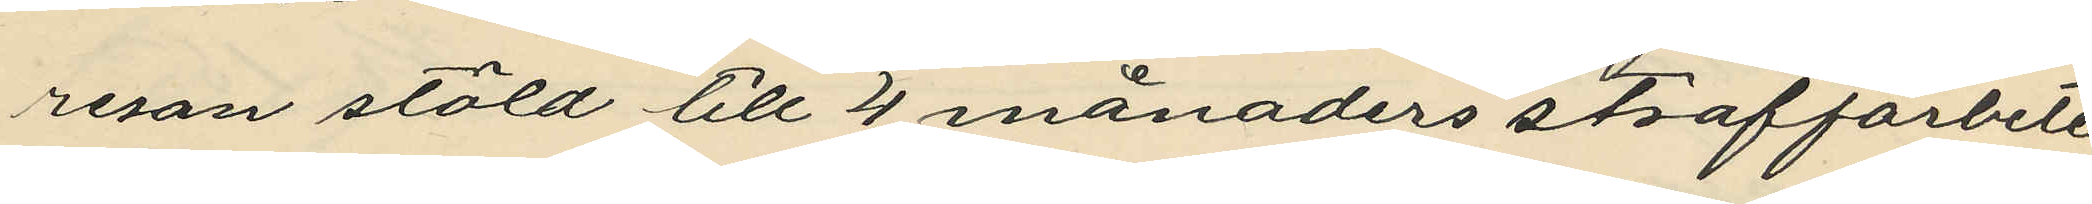resan stöld till 4 månaders straffarbete
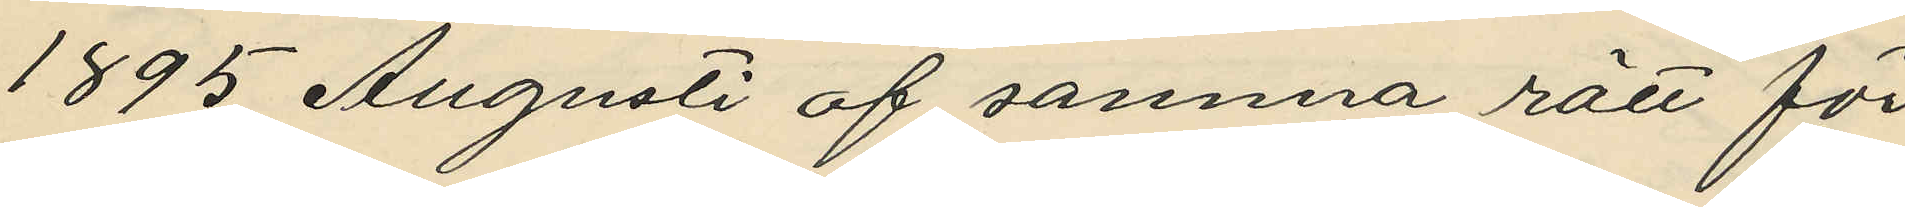1895 Augusti af samma rätt för
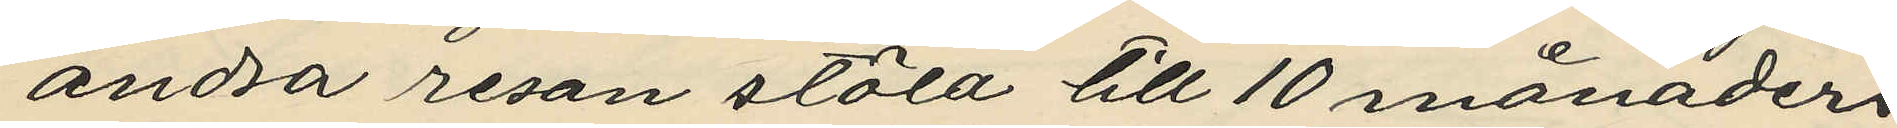andra resan stöld till 10 månaders
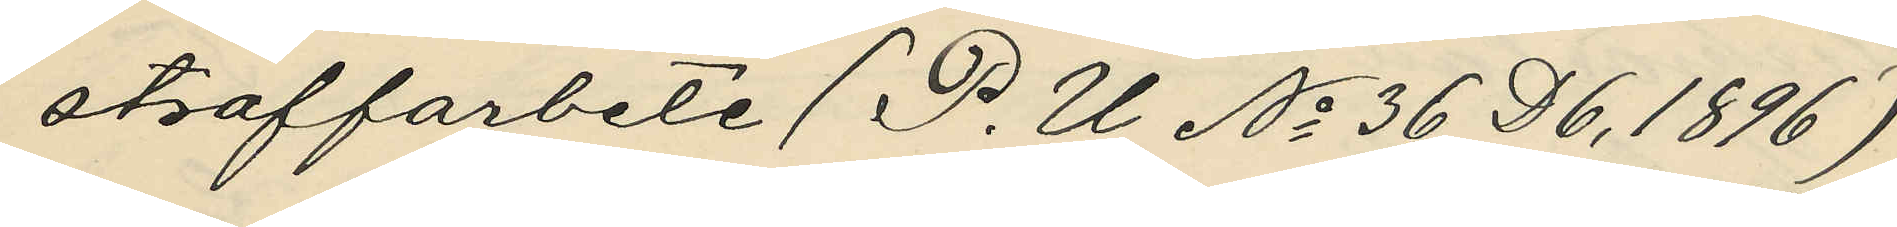straffarbete (P. U No 36 D6, 1896)
